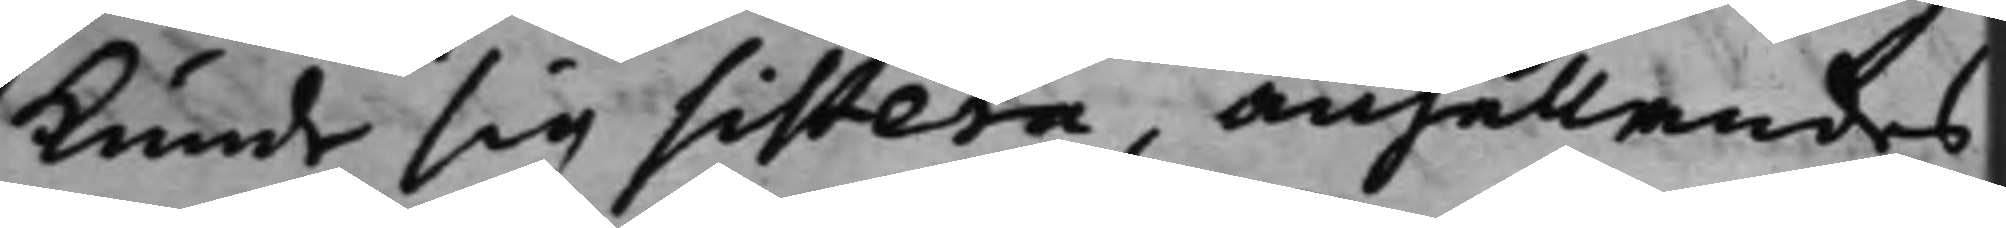kunde sig sistera, anhållandes
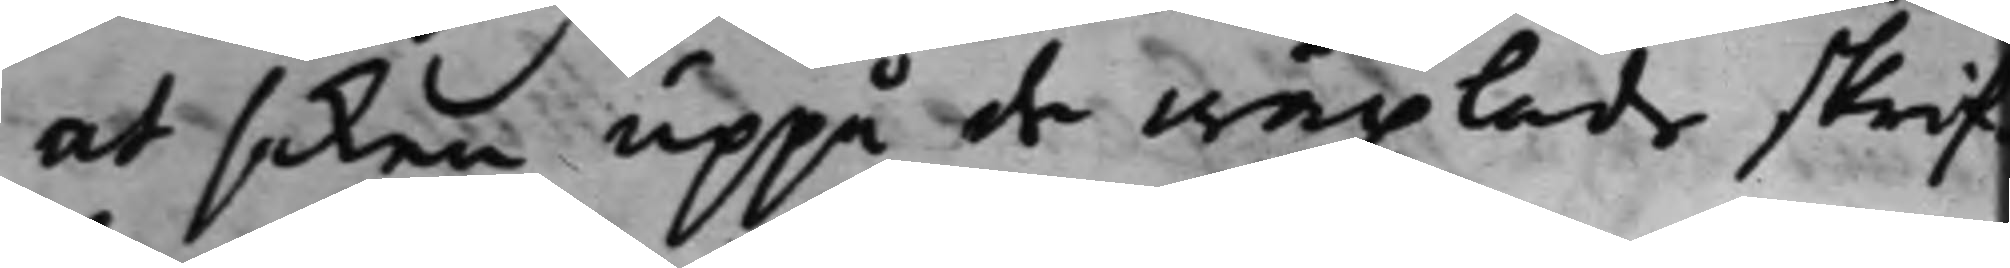at saken uppå de wäxlade skrif¬
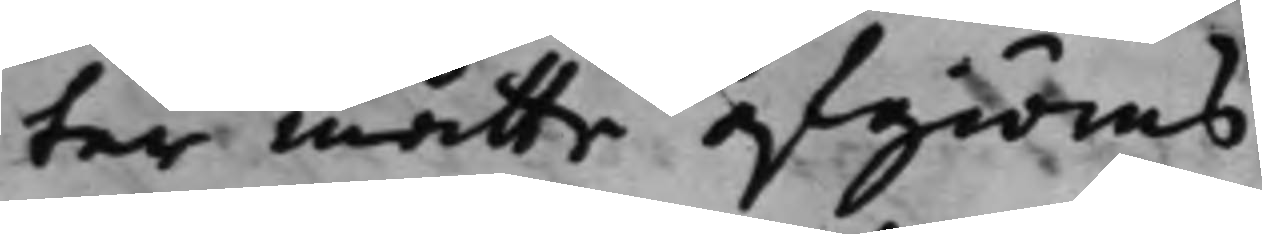ter måtte afgiöras.
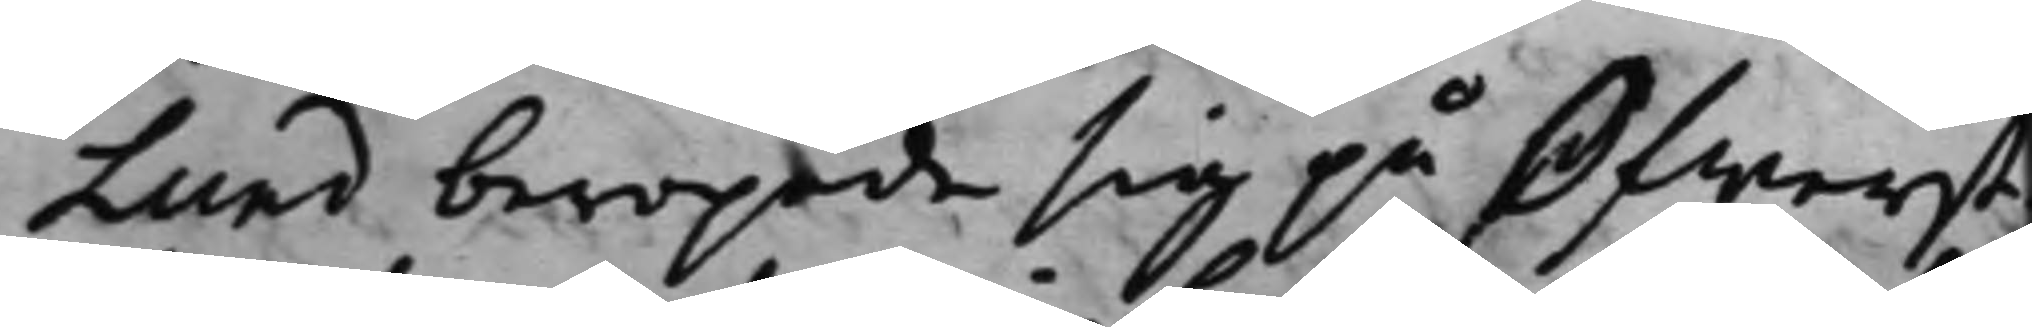Lund beropade sig på Öfwerst¬
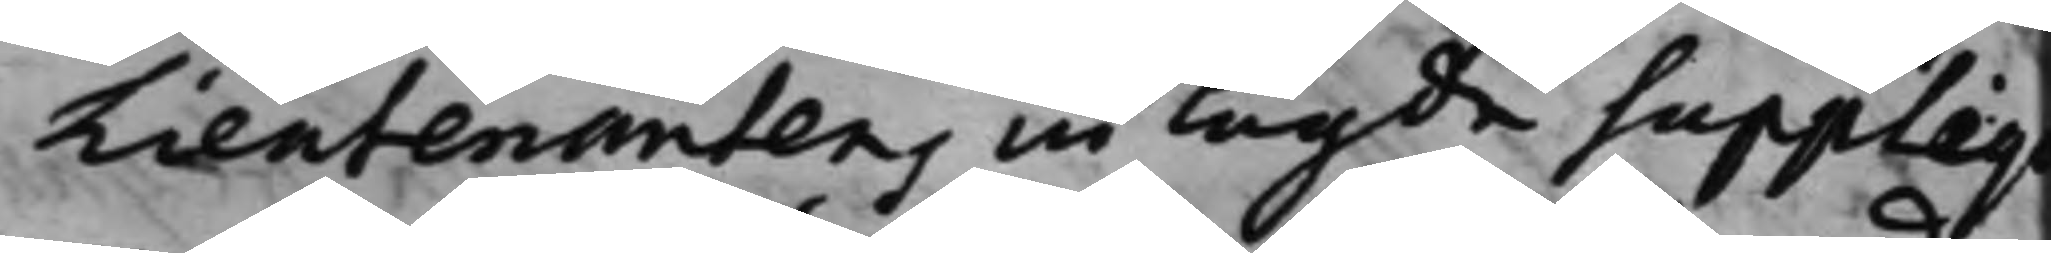Lieutenantens inlagde Suppliqv
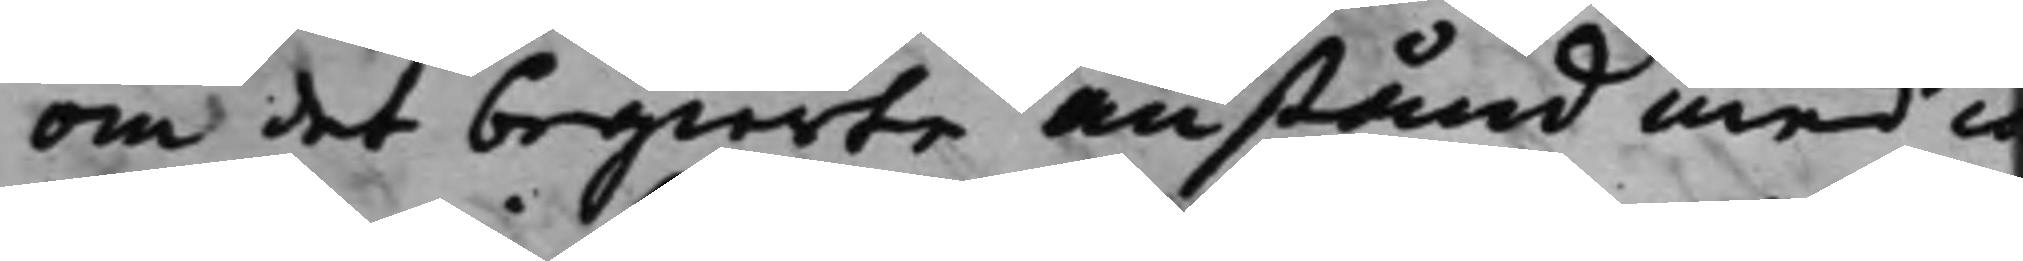om det begierte anstånd med co¬
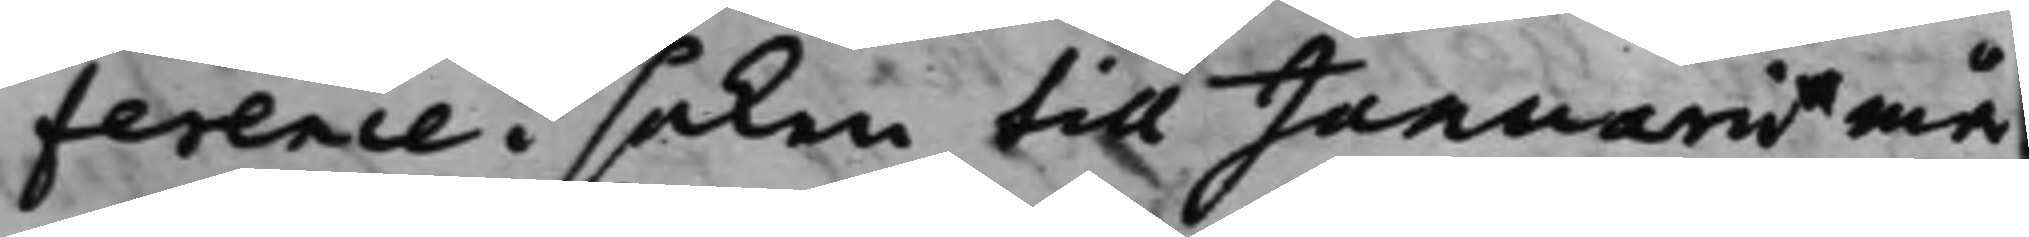ference i saken till Januarii må¬
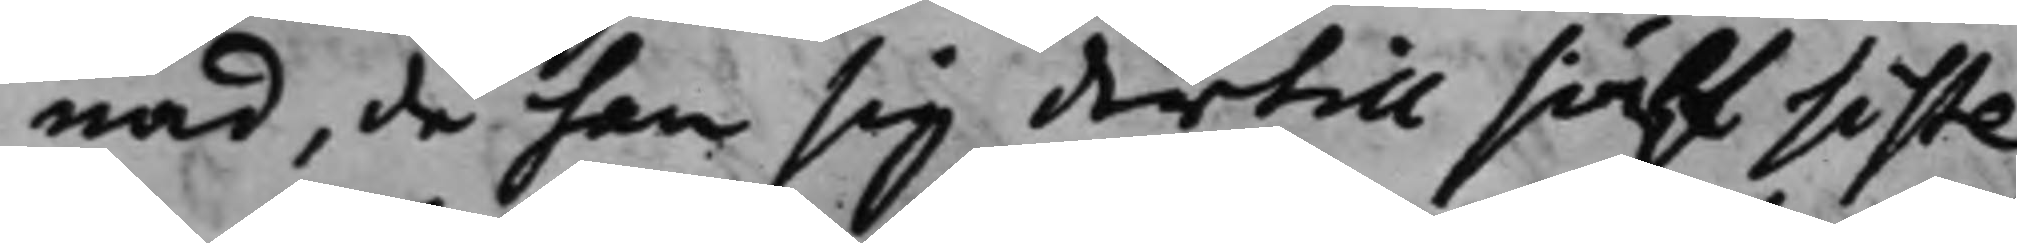nad, då han sig dertill siälf siste¬
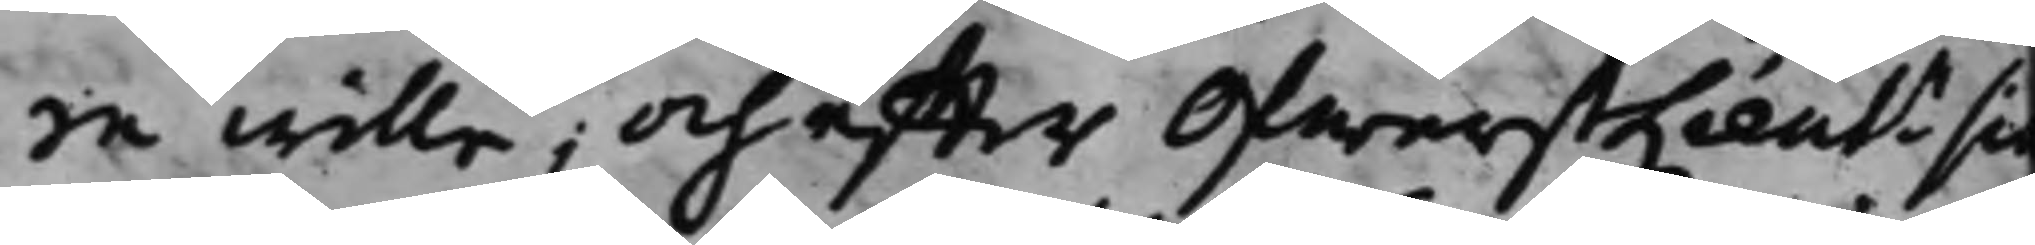re wille; och effter ÖfwerstLieutn sie
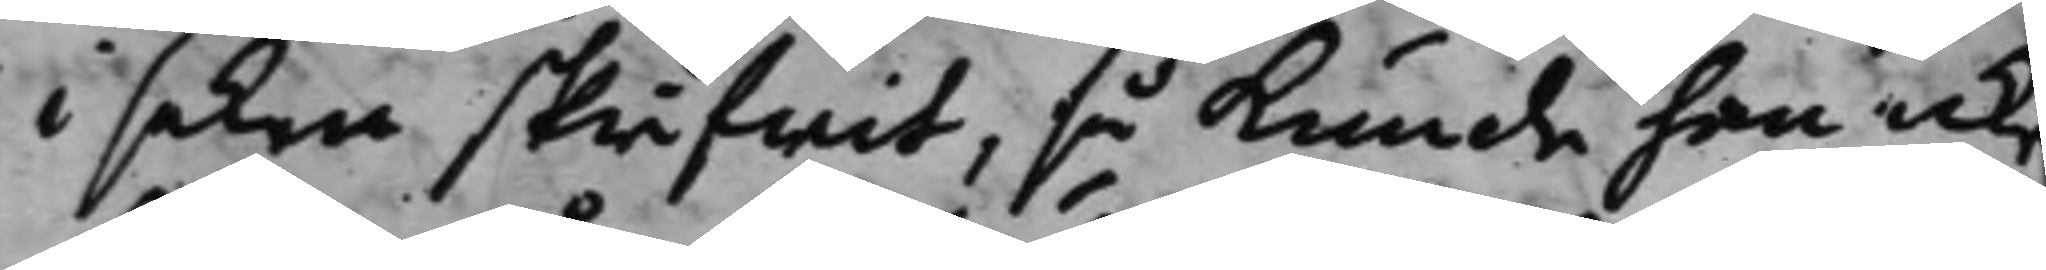i saken skrifwit, så kunde han icke
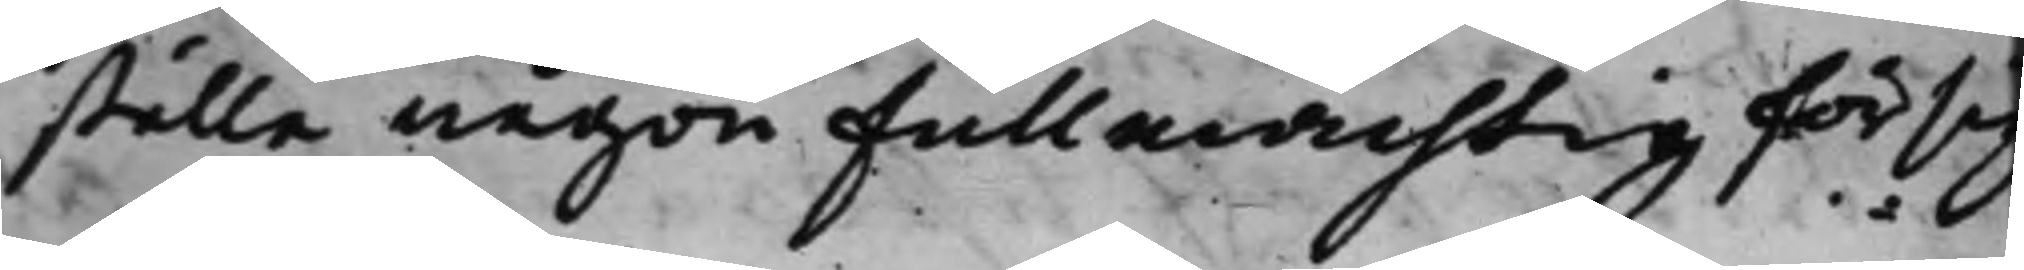ställa någon Fullmächtig för sig
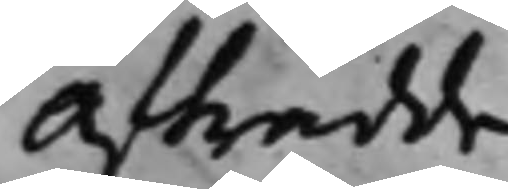Afträdde.
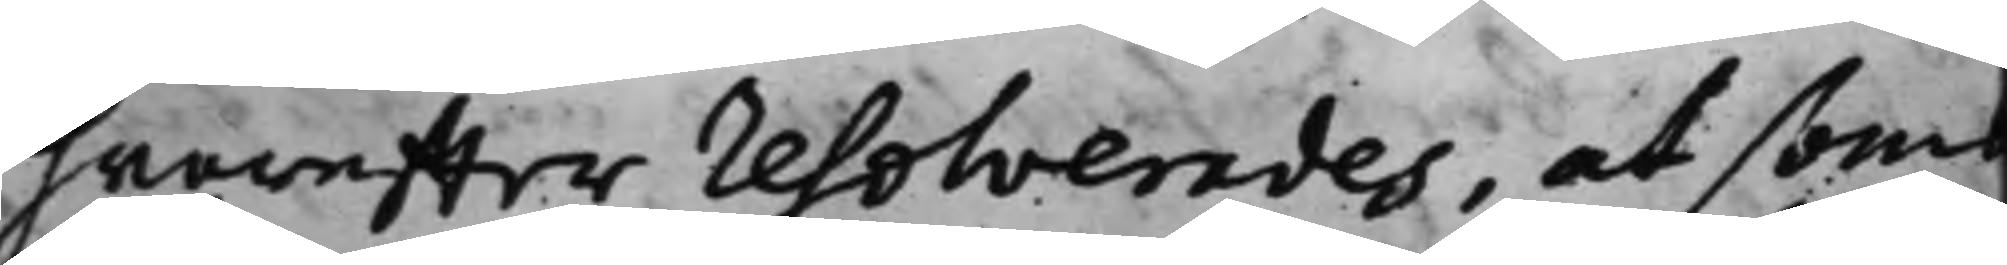hwareffter resolverades, at som
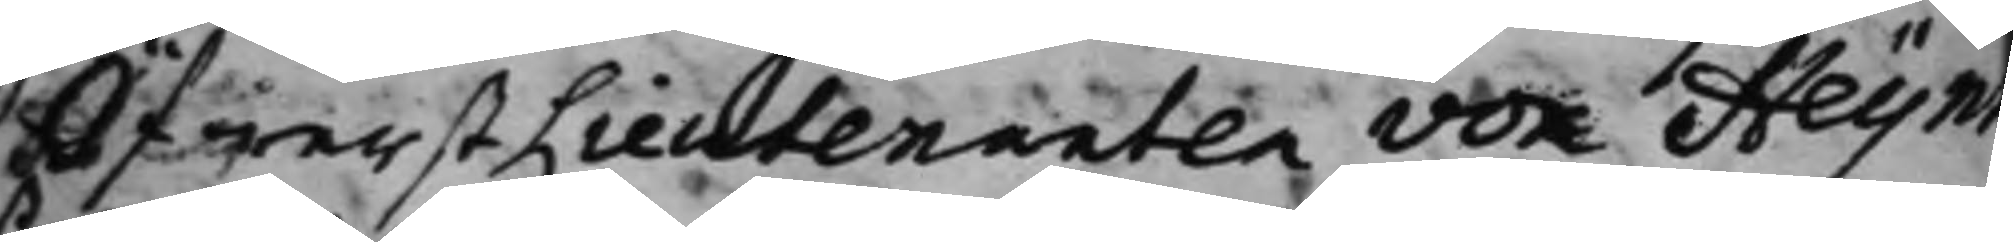ÖfwerstLieutenanten von Heijnn
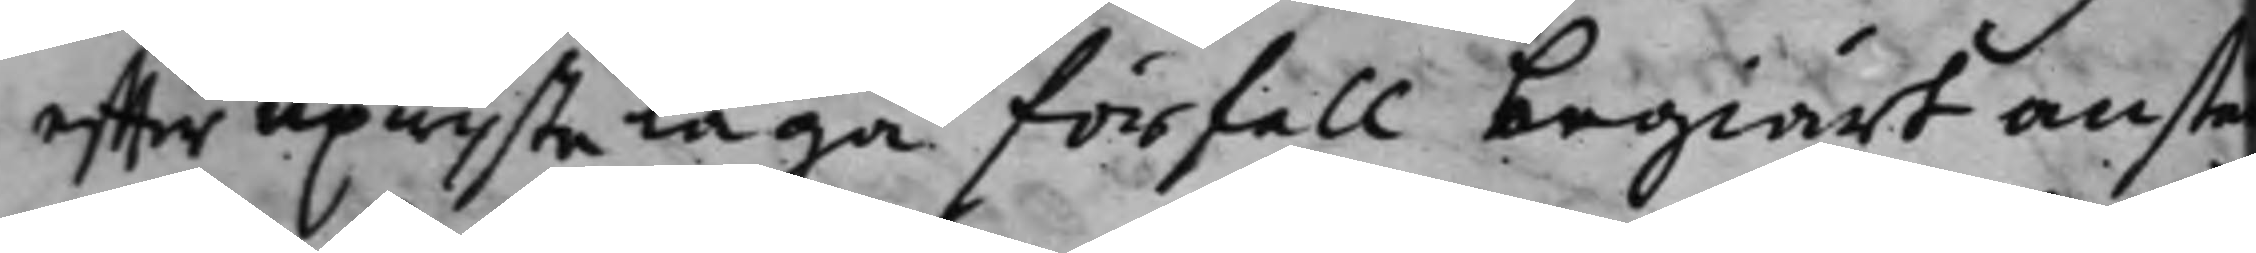effter upwiste laga förfall begiärt anstå
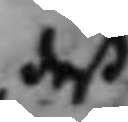deß
